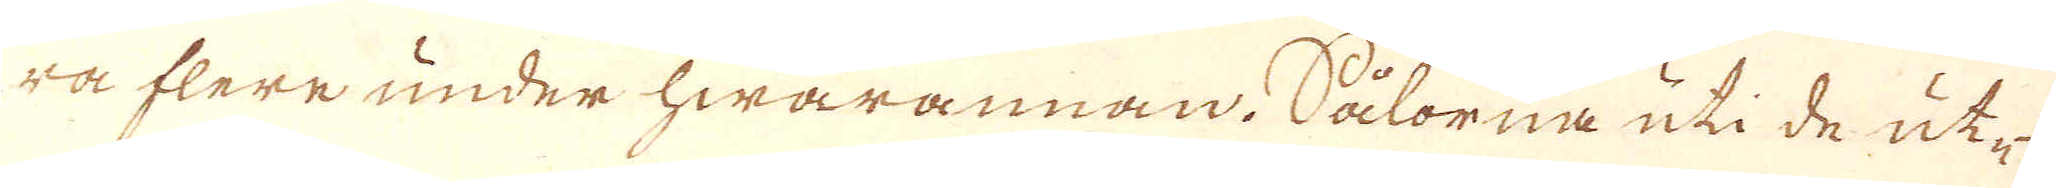ra flere under hwarannan. Sålorna uti de ut-
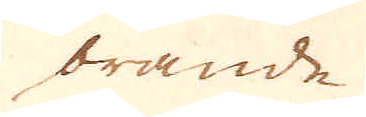brande
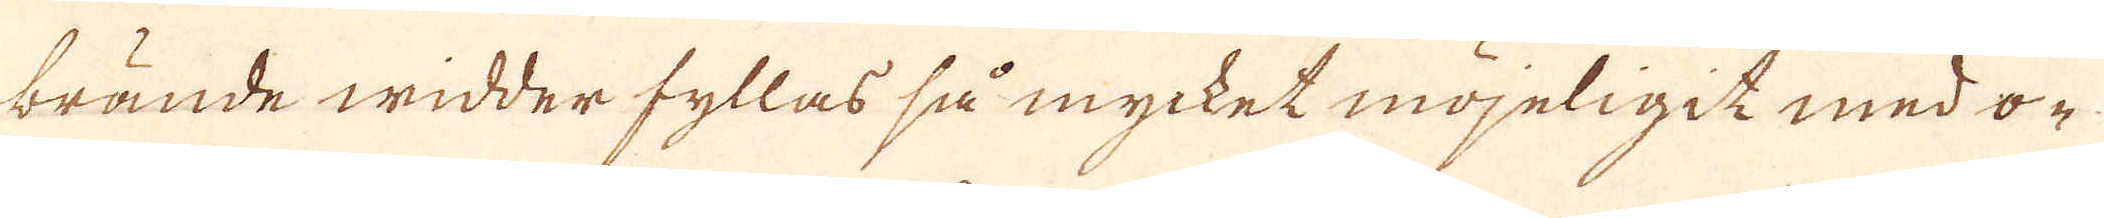brände widder fyllas så mycket möjeligit med o-
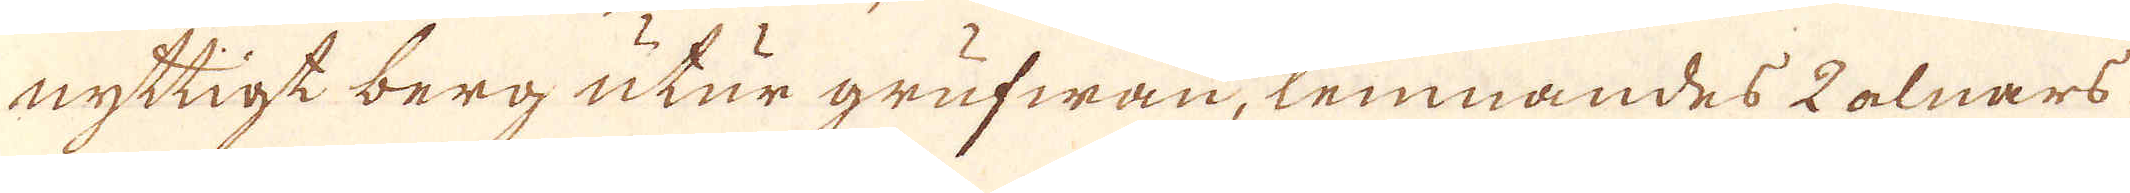nyttigt berg utur grufwan, lemnandes 2 alnars
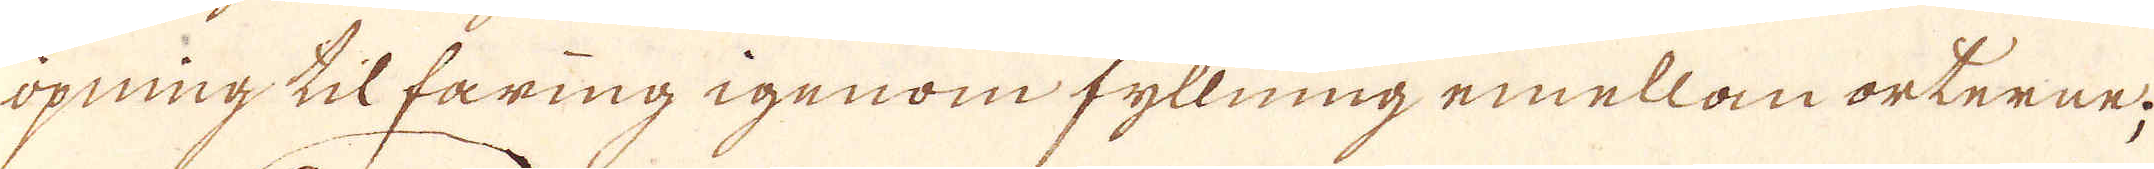öpning til faring igenom fyllning emellan orterne;
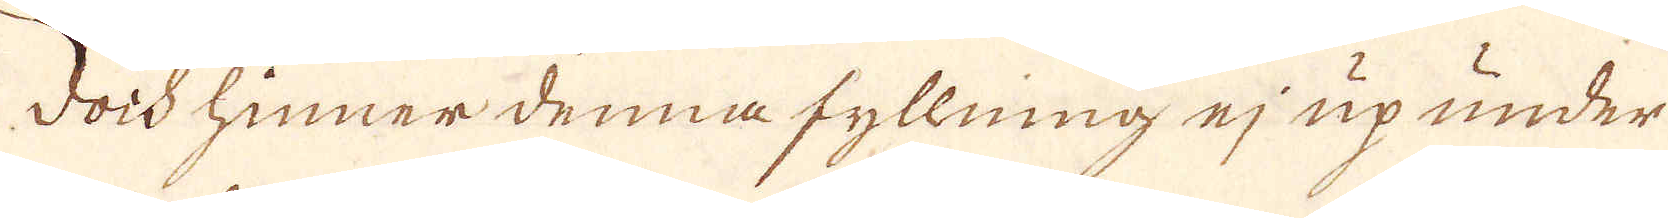Doch hinner denna fyllning ej up under
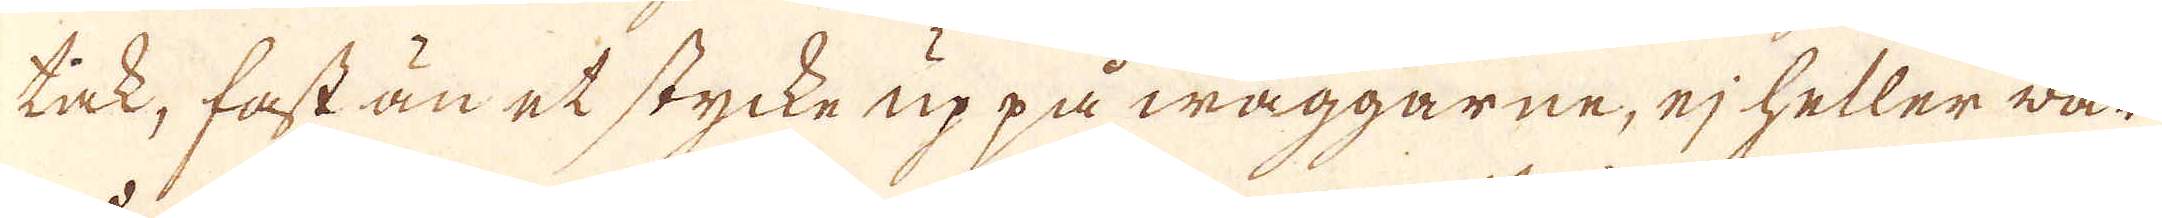tak, fast än et stycke uppå wäggarne, ej heller war
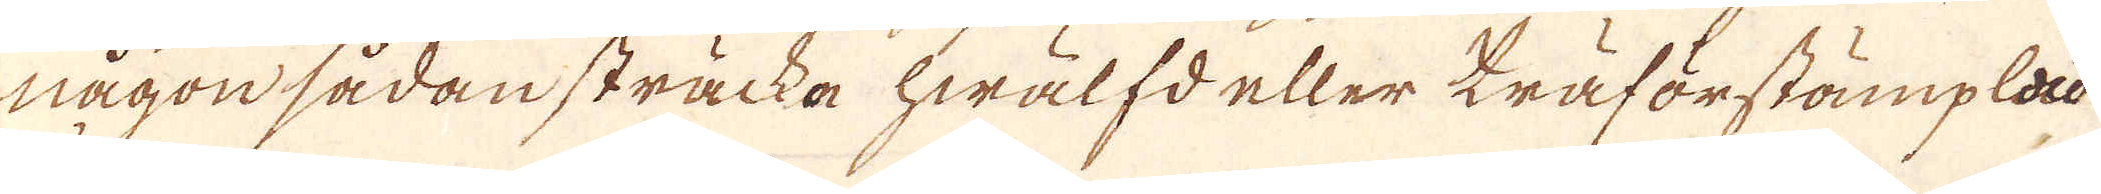någon sådan sträcka hwälfd eller träförstämplad
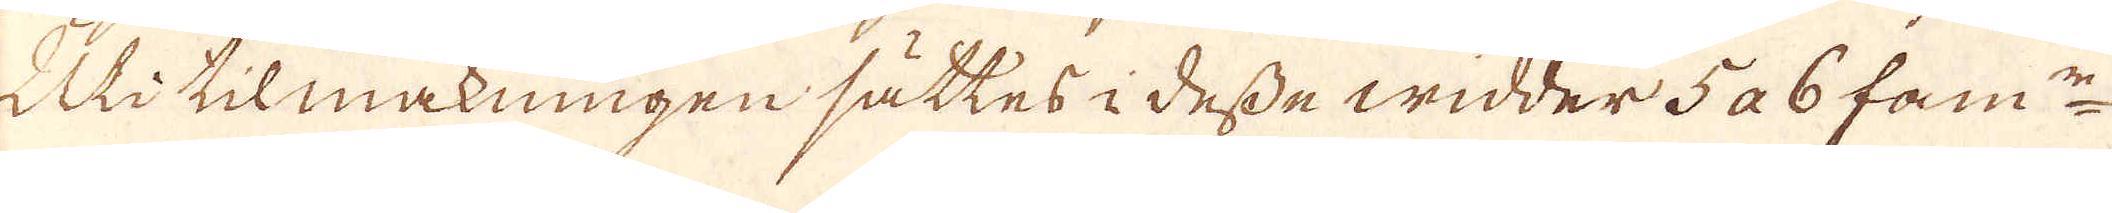Uti tilmakningen sättes i desse widder 5 a 6 fam:n
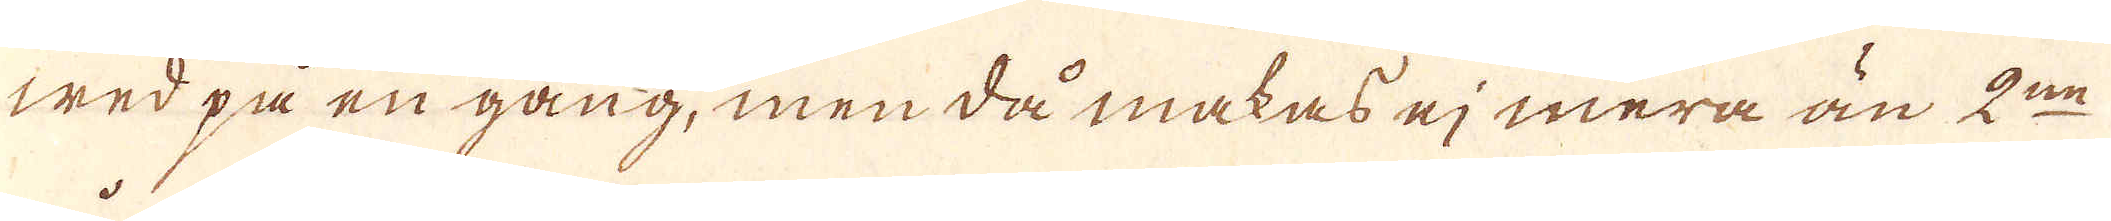wed på en gång, men då makas ej mera än 2:ne
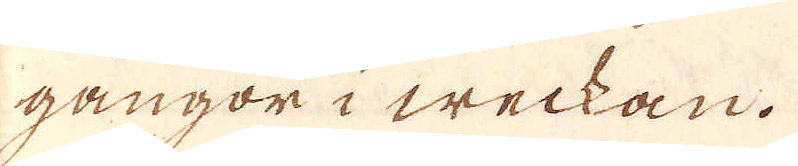gångor i weckan.
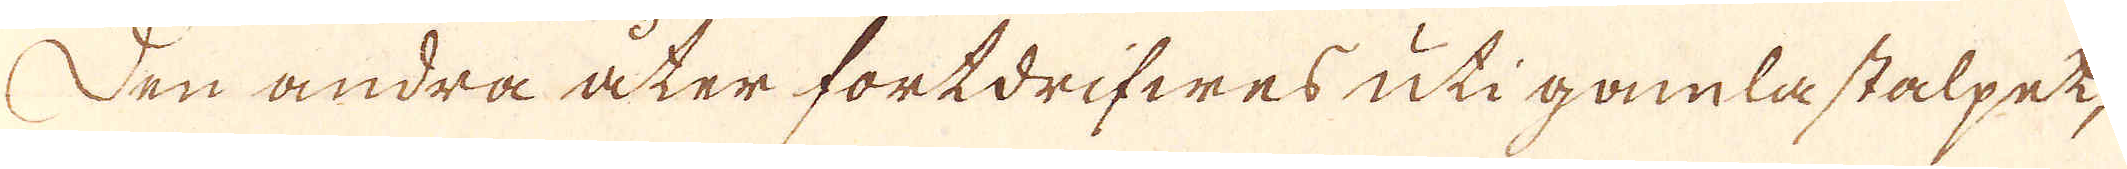Den andra åter fortdrifwes uti gamla stalpet,
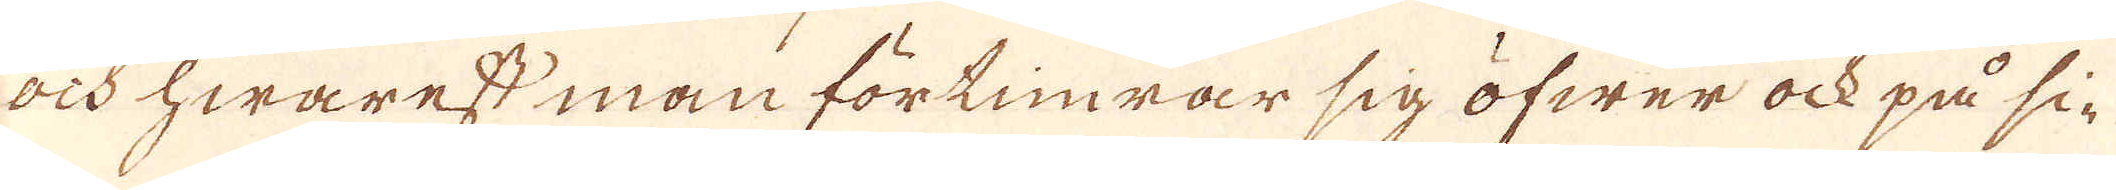ock hwarest man förlinrar sig öfwer ock på si-
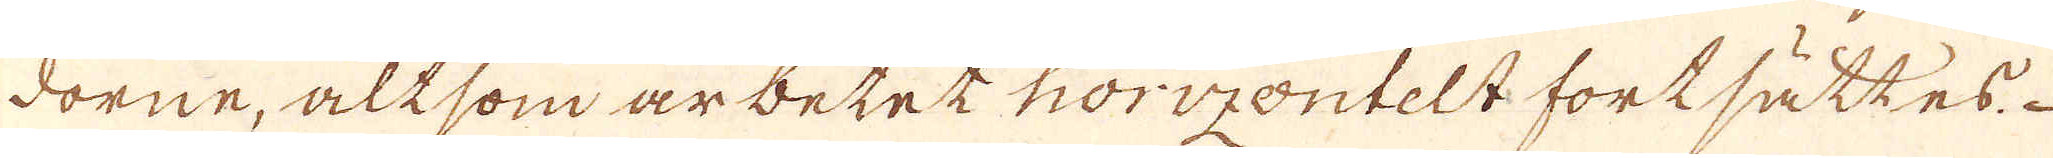dorne, altsom ar betet horizontelt fortsättes
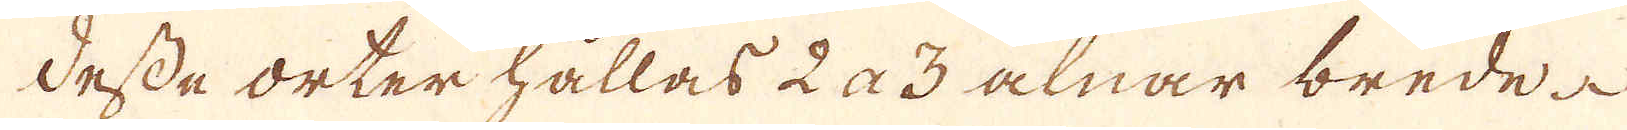desse orter hållas 2 a 3 alnar brede
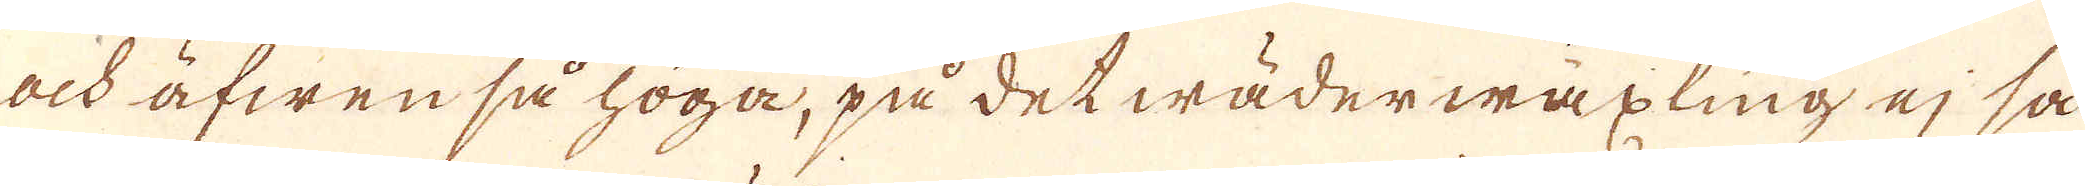och äfwen så höga, på det wäderwäxling ej så
